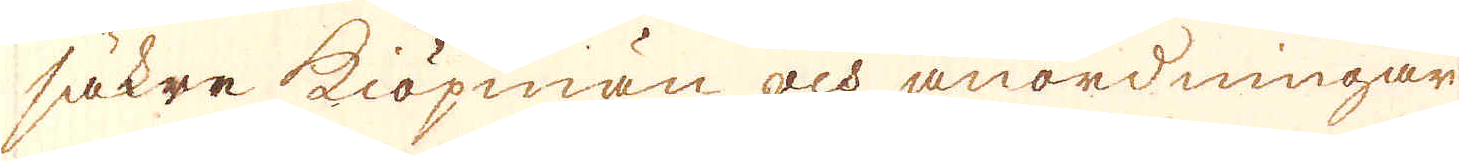säkre kiöpmän och anordningar
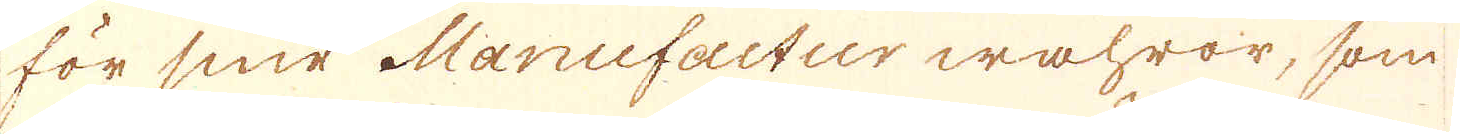för sine Manufactur wahror, som
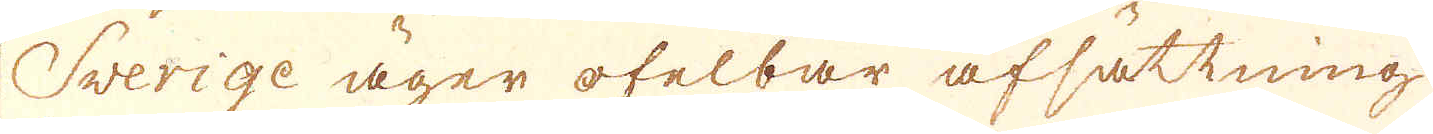Sverige äger ofelbar afsättning
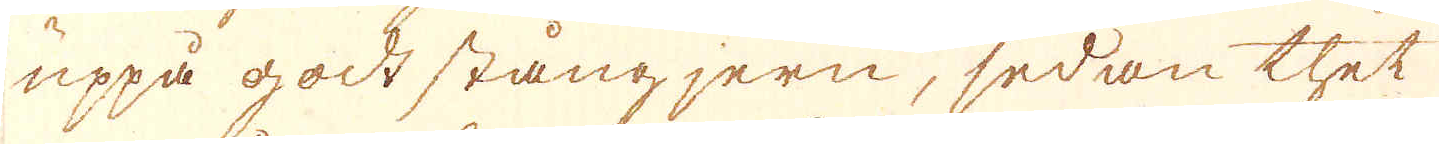uppå godt stångjern, sedan thet
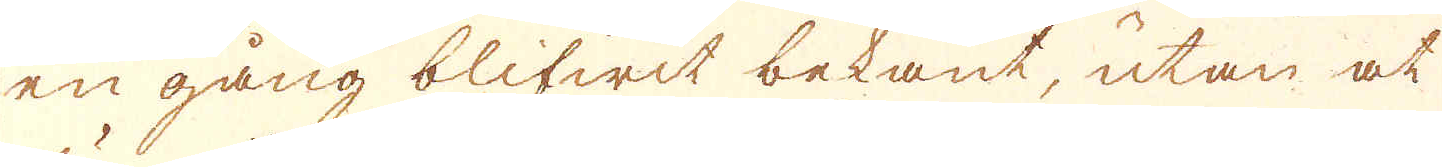en gång blifwit bekant, utan at
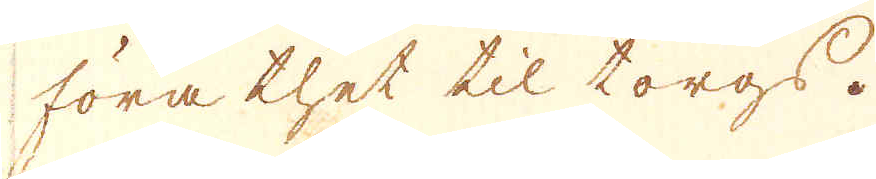föra thet til torgs.
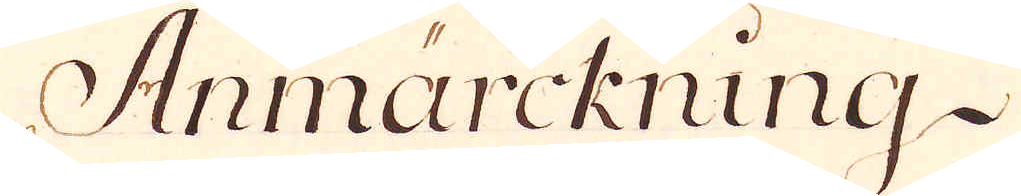Anmärckning.
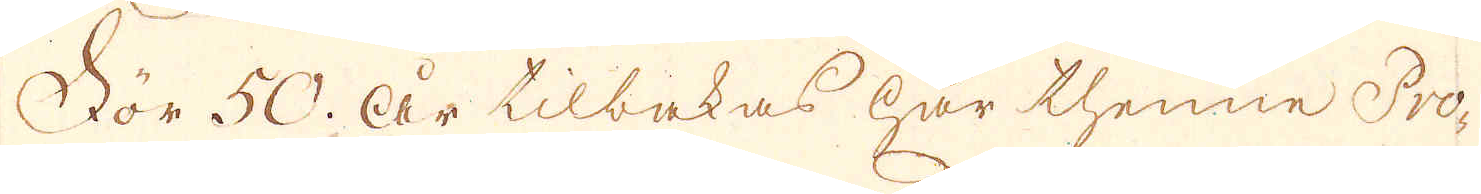För 50. år tilbakas har thenne Pro-
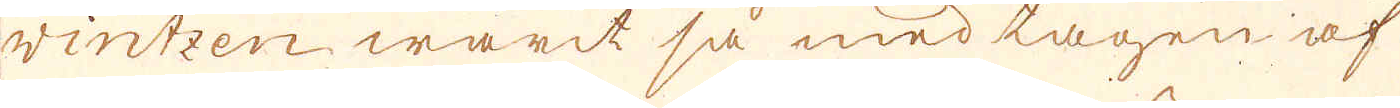vintzen warit så medtagen af
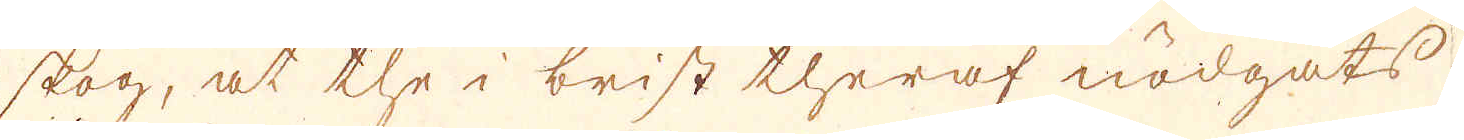skog, at the i brist theraf nödgats
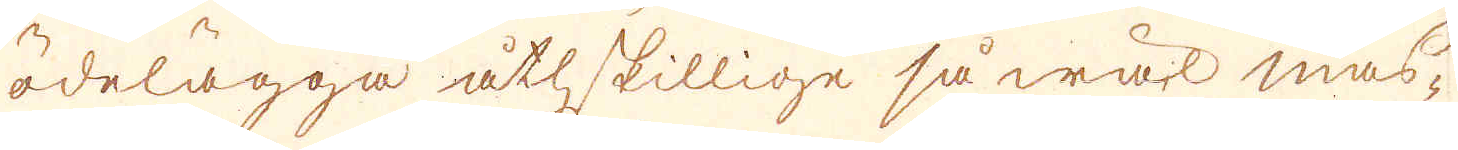ödelägga åtskillige så wäl mas-
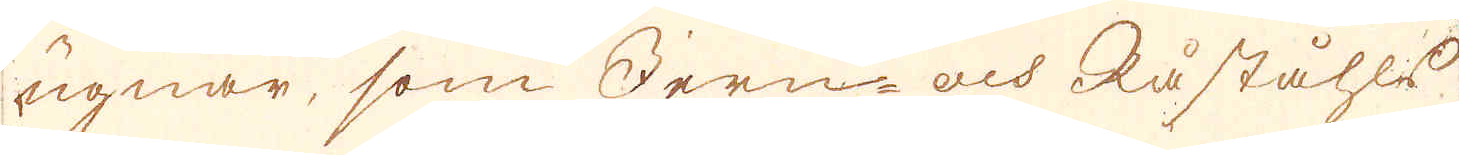ugnar, som Jern- och Råståhls
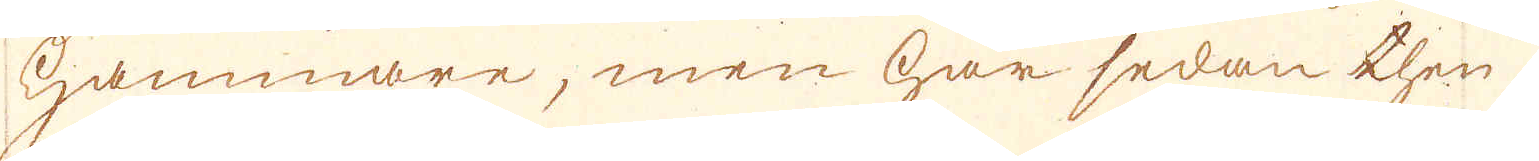hammare, men har sedan then
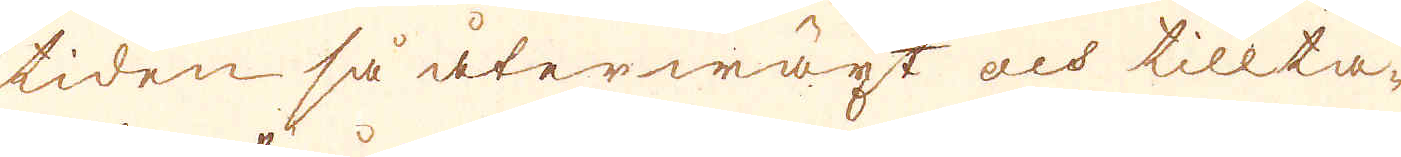tiden så återwäxt och tillta-
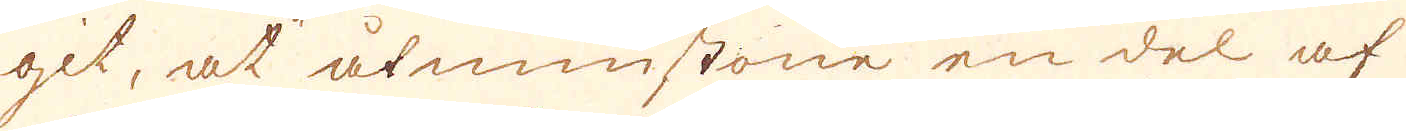git, at åtminstone en del af
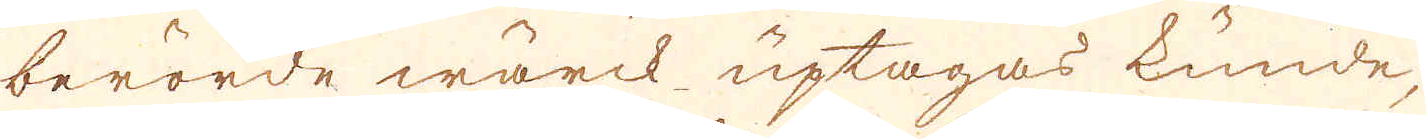berörde wärck uptagas kunde,
